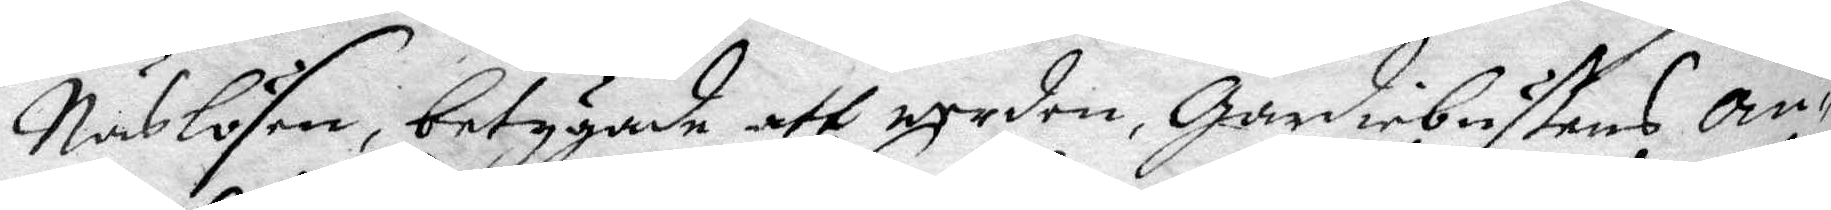Näslösen, betygade att worden, Gardiebustens an¬
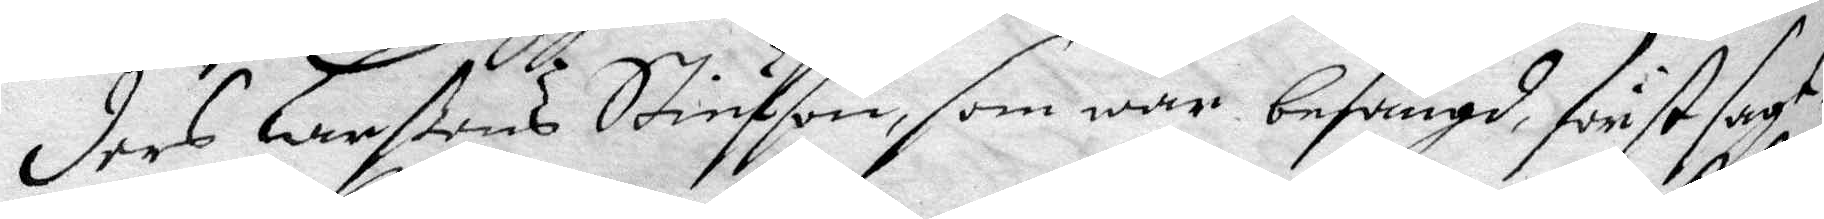ders Larßons Stiufson, som war befängd, först sagt
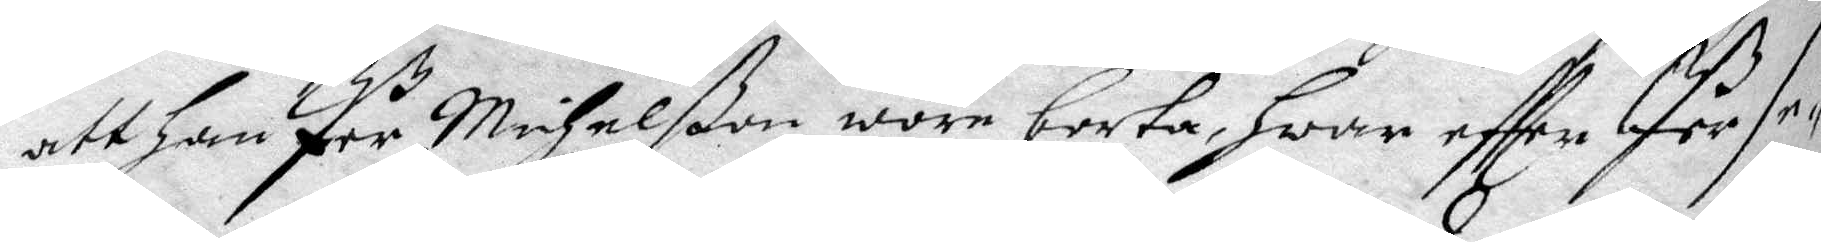att han Per Michelßon wore borta, hwar effter Per se¬
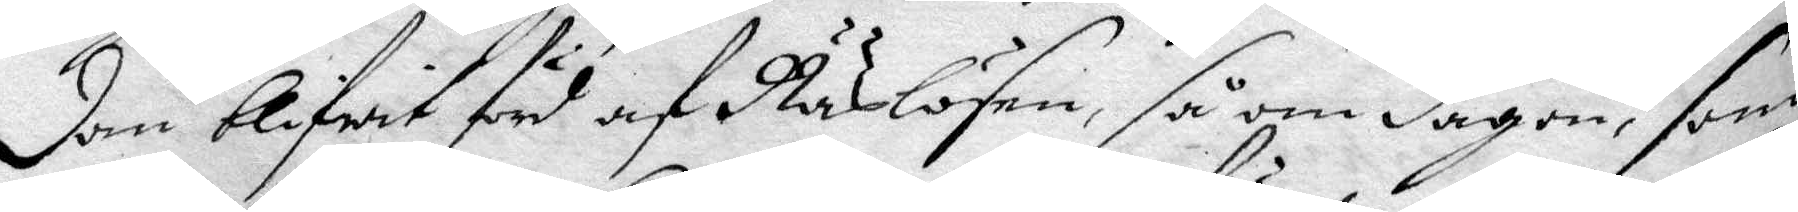dan blifwit förd af Näslösan, så om dagen, som
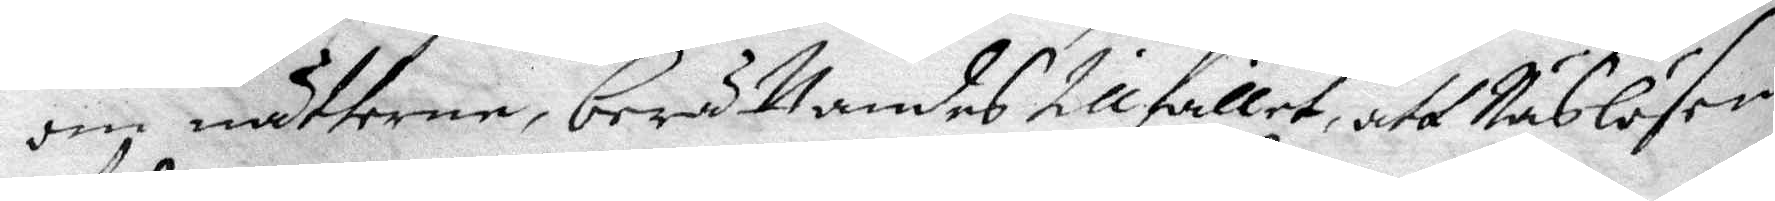om nätterne, berättandes tillfället, att Näslösen
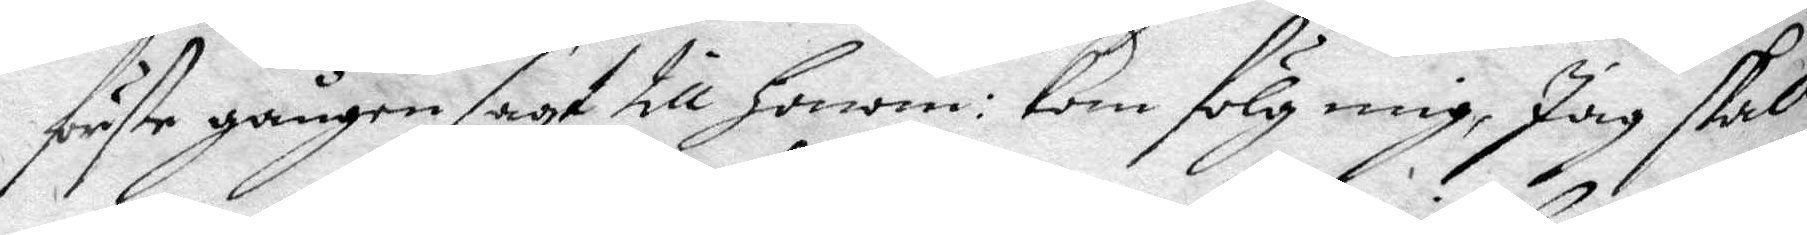förste gången sagt till honom: kom fölg mig, Jag skall
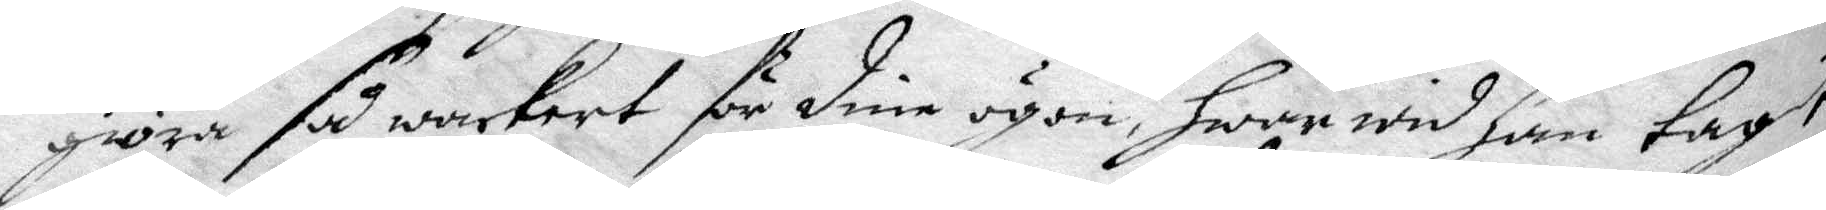giöra så wackert för dine ögon, hwar wyd han tagit
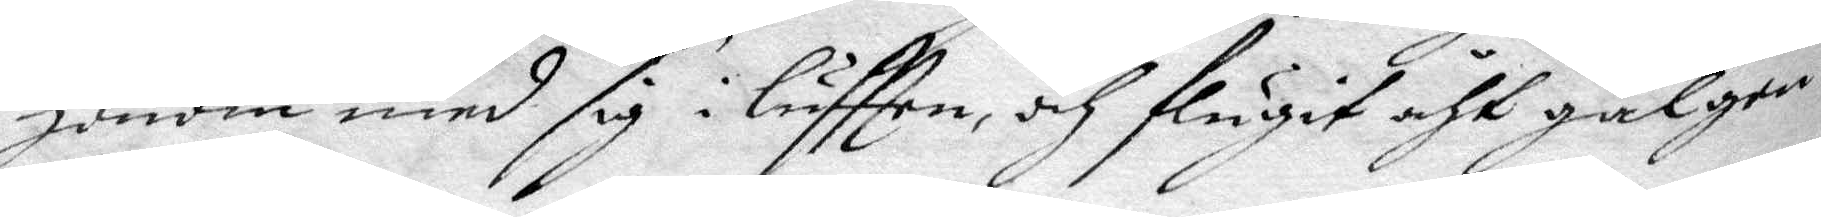honom med sig i lufften, och flugit åht galgen,
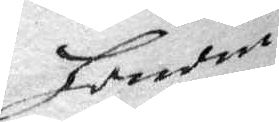honom
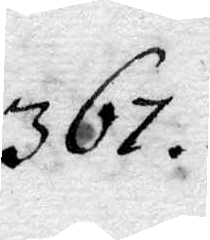367.
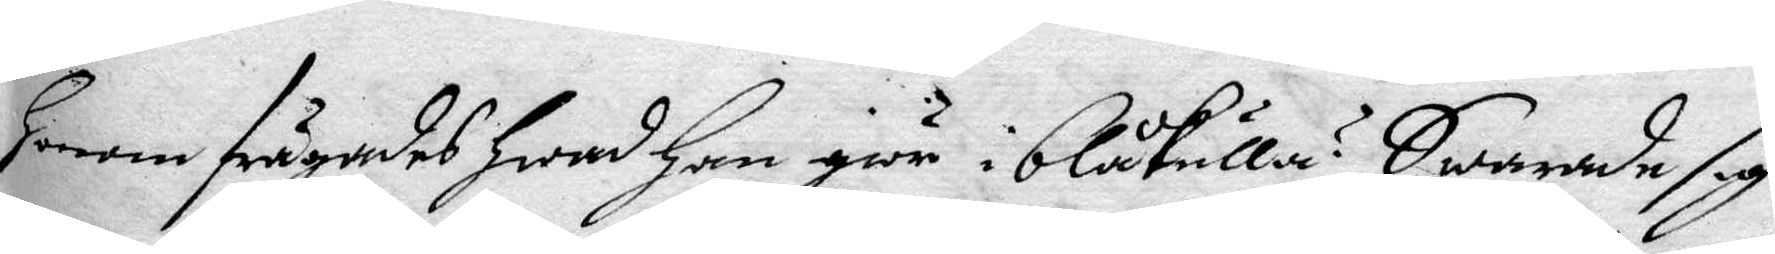Honom frågades hwad han giör i blåkulla? Swarade sig
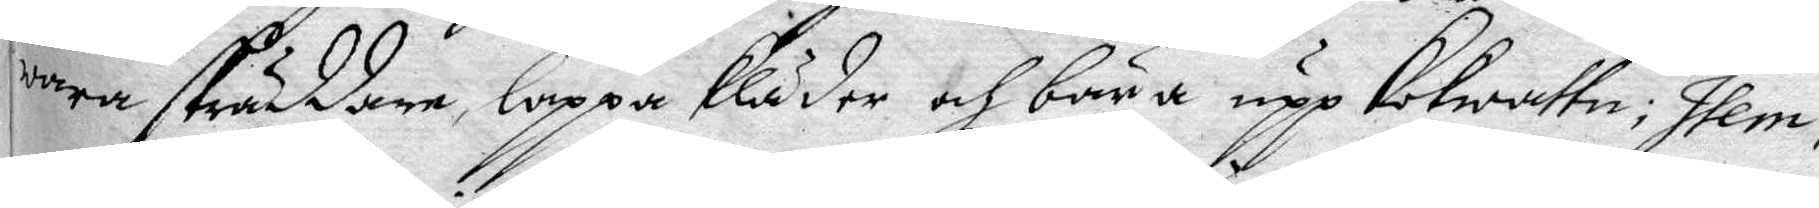wara skräddare, lappa kläder och bära upp kokwattn; Item,
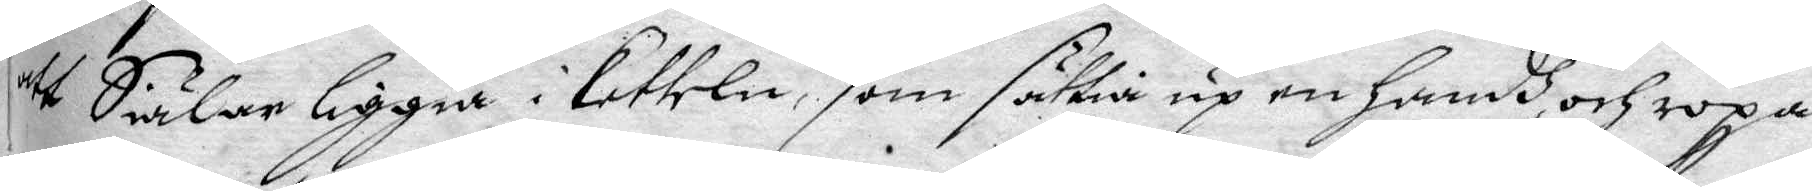att Siälar liggia i kitteln, som sättia up en handh, och ropa
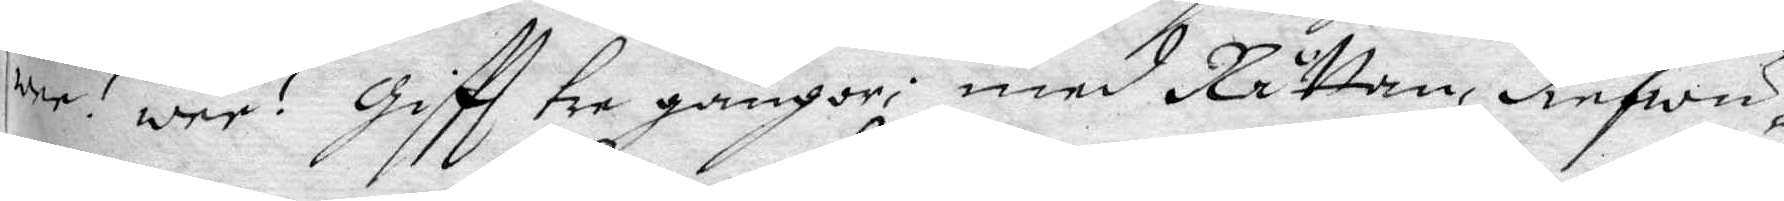war! war! giftt tre gånger; med Råttan, diefwu¬
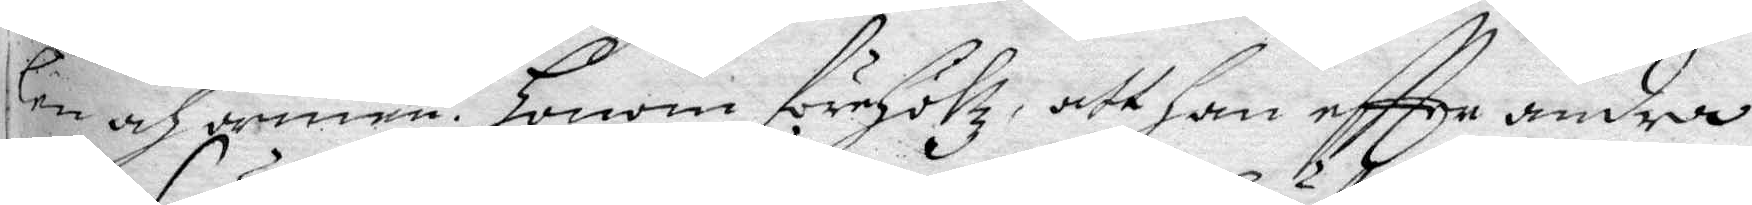len och armen. Honom förhöltz, att han eftter andra
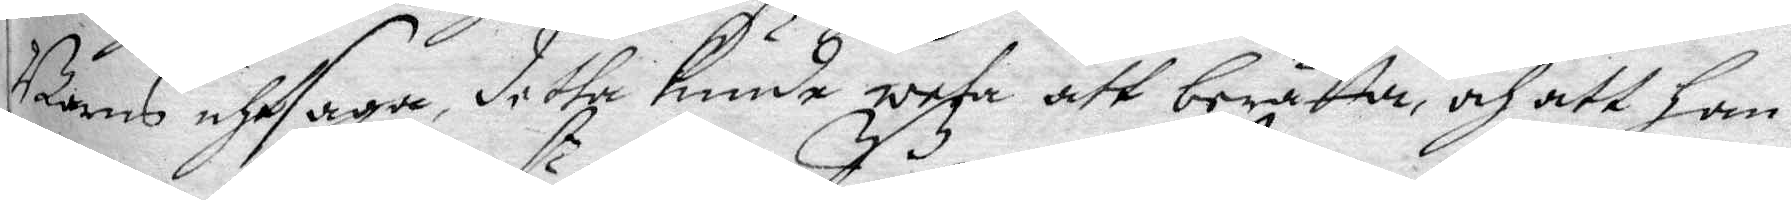Barns uthsaga, detta kunde weta att berätta, och att han
